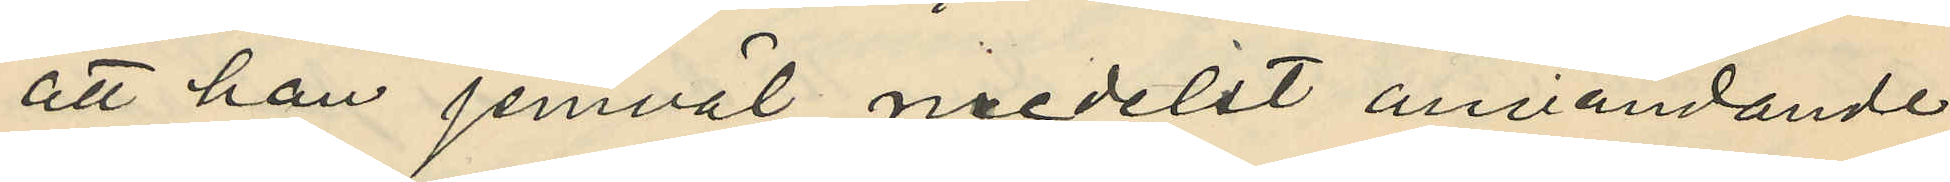att han jemväl medelst användande
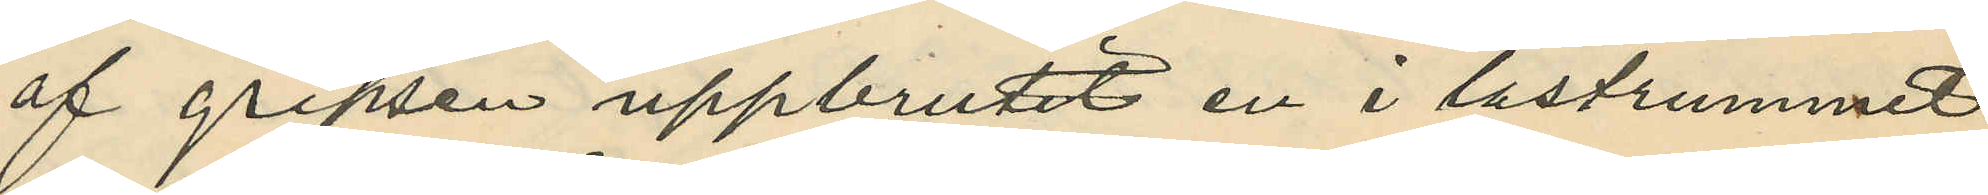af gripsen uppbrutit en i lastrummet
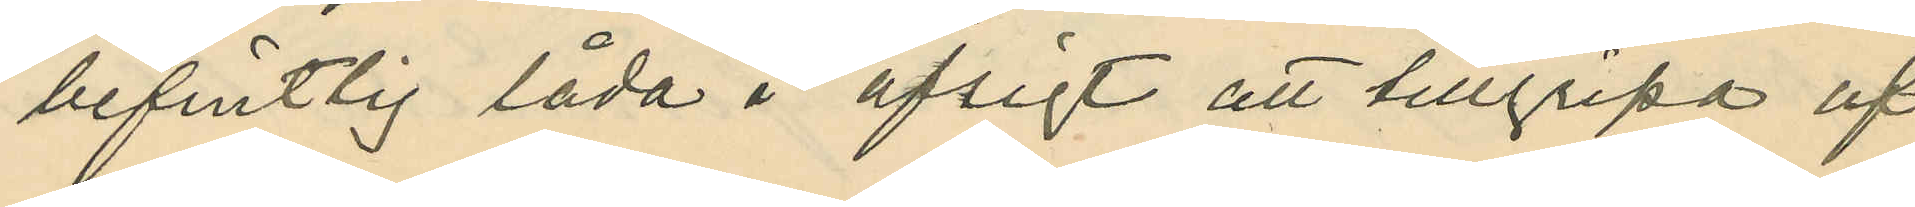befintlig låda i afsigt att tillgripa af
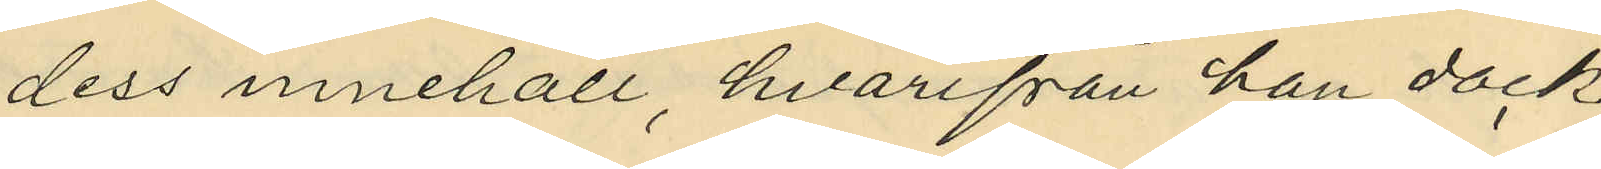dess innehåll, hvarifrån han dock
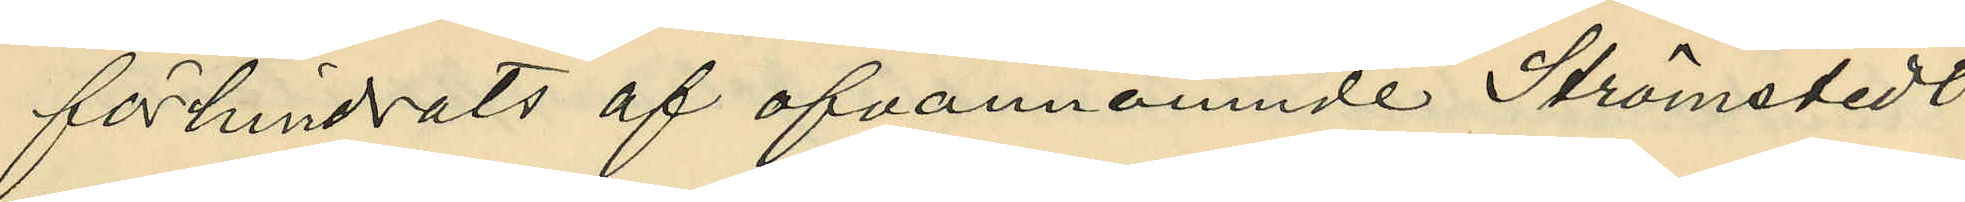förhindrats af ofvannämnde Strömstedt
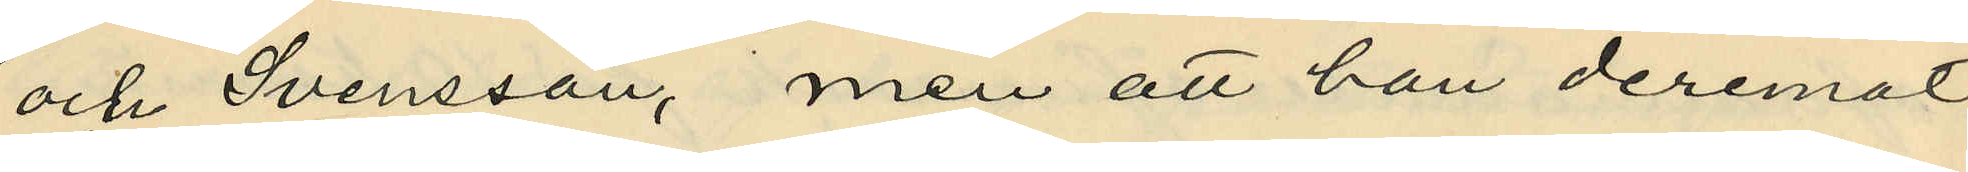och Svensson, men att han deremot
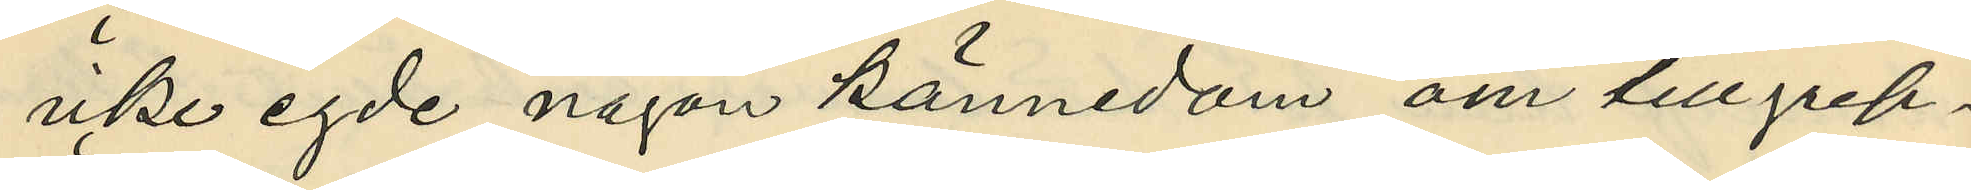icke egde någon kännedom om tillgrep¬
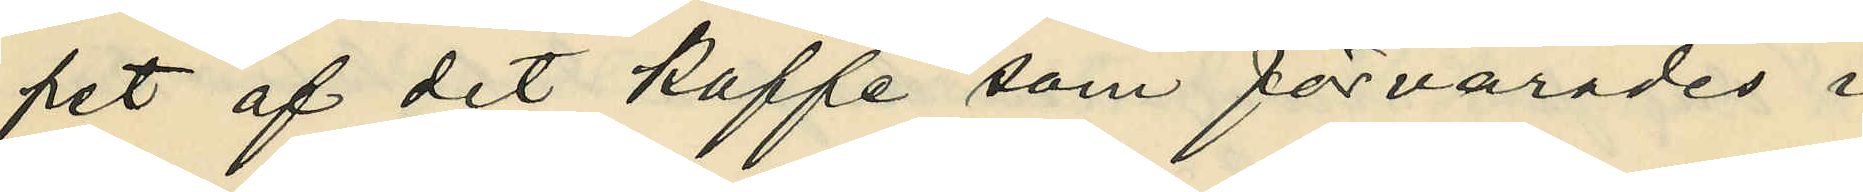pet af det kaffe som förvarades i
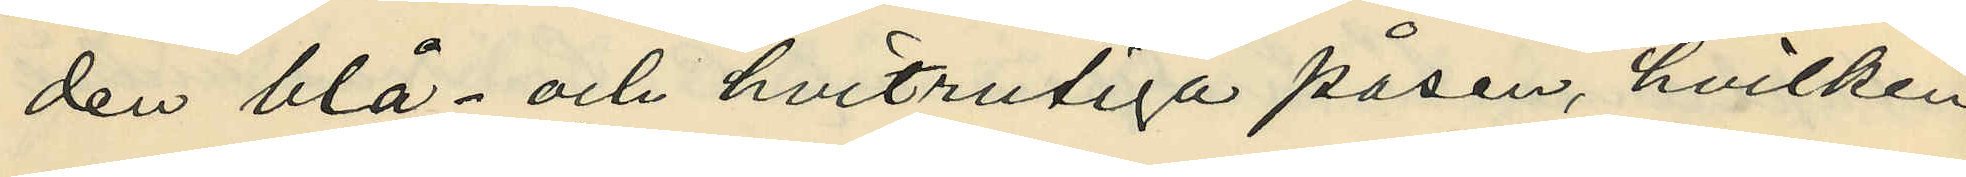den blå- och hvitrutiga påsen, hvilken
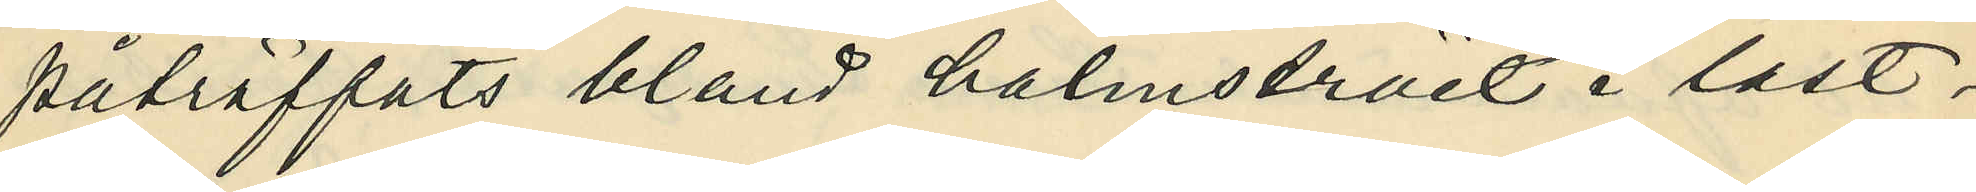påträffats bland halmstrået i last¬
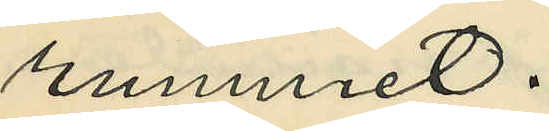rummet.
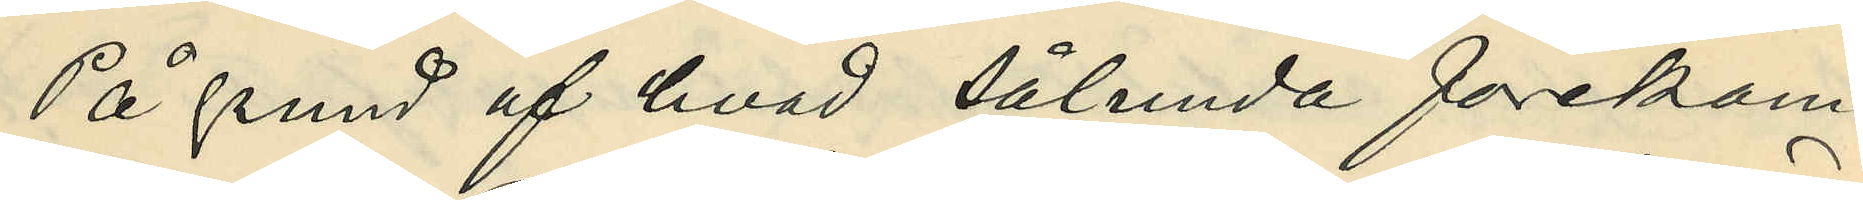På grund af hvad sålunda förekom¬
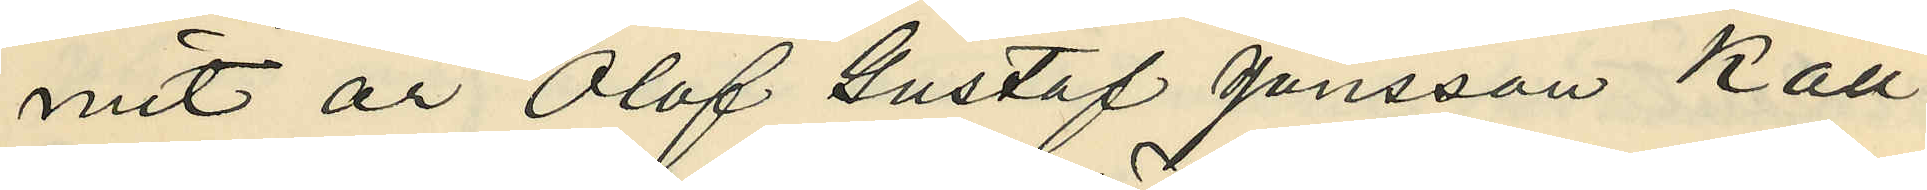mit är Olof Gustaf Jonsson Käll¬
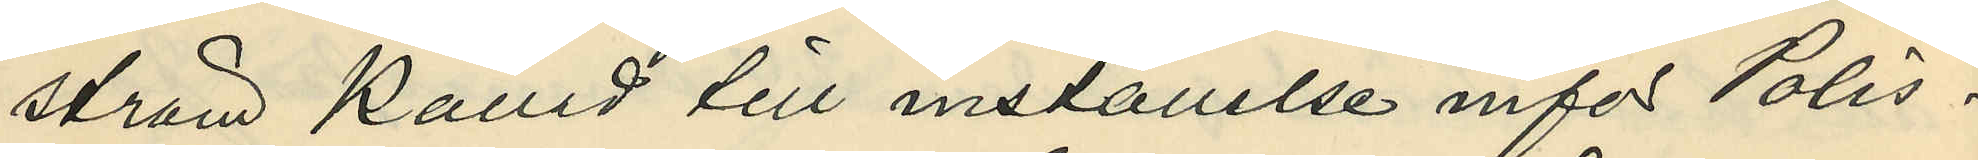ström kallad till inställelse infor Polis¬
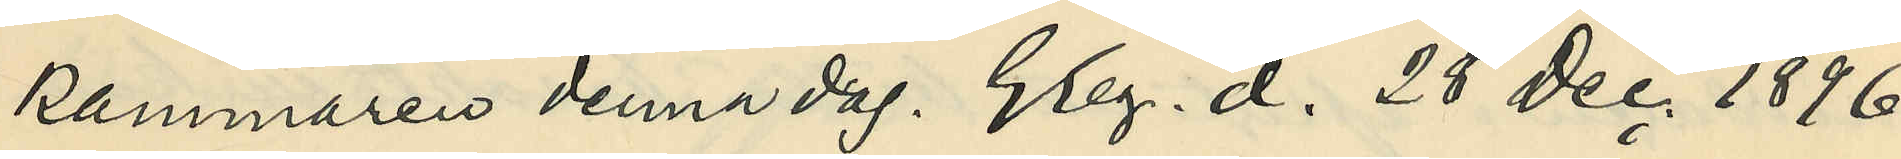kammaren denna dag. Gbg. d. 28 Dec. 1896.
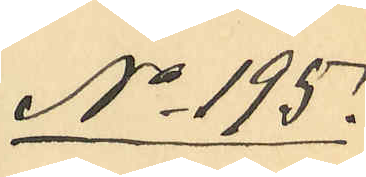No 195.
